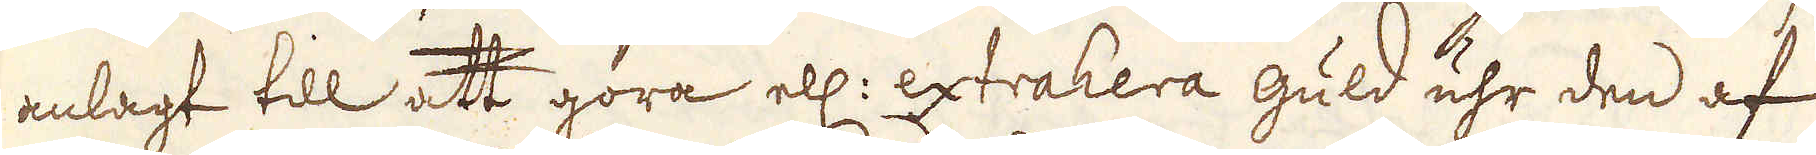anlagt till att göra ell: extrahera guld uhr den af
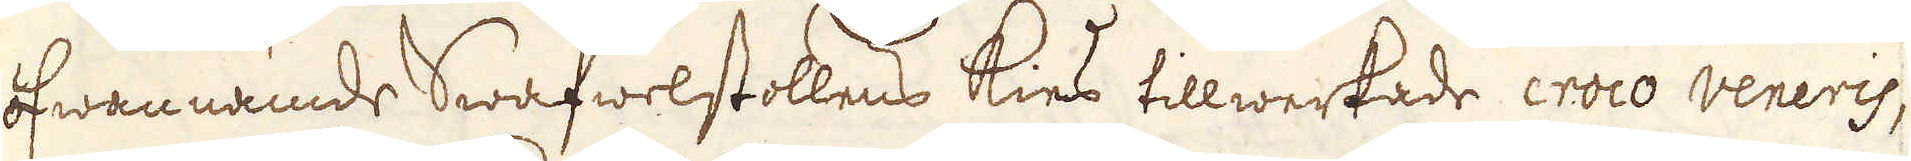ofwannämde Swafwelstollens kies tillwerkade croco veneris,
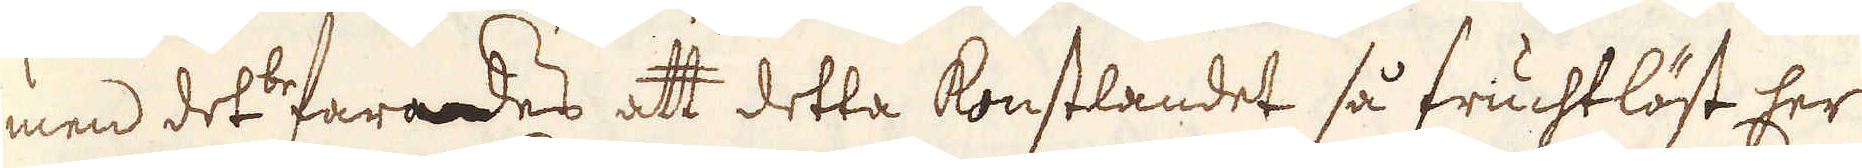men det befarades att detta konstlandet så fruchtlöst her
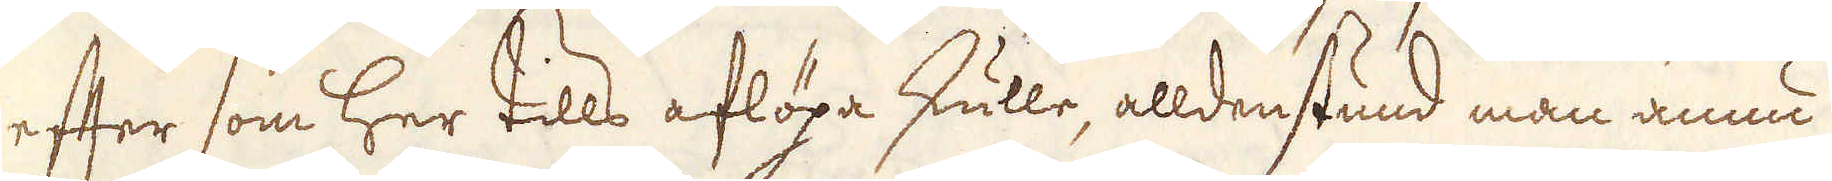efter som her tills aflöpa skulle, alldenstund man ännu
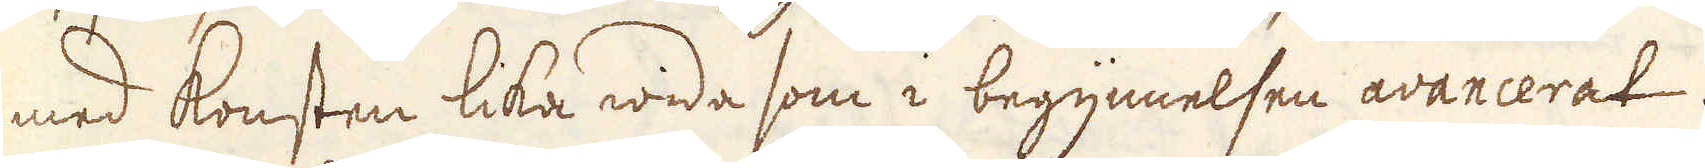med konsten lika wida som i begynnelsen avancerat.
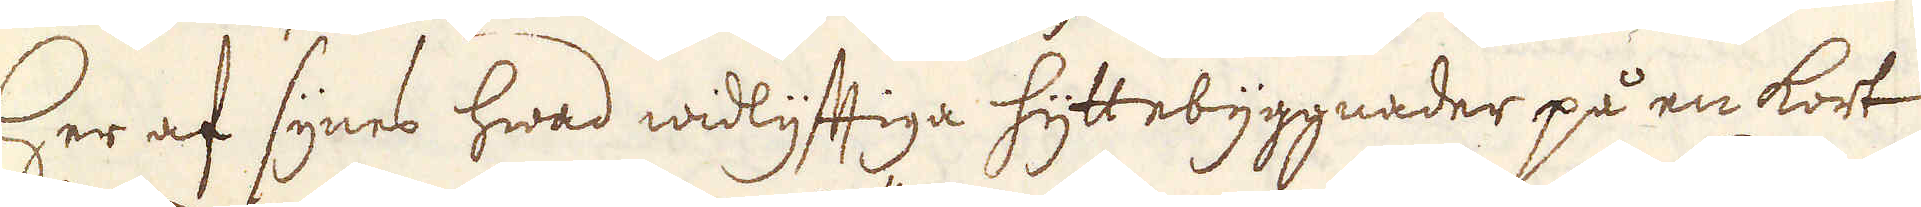Her af synes hwad widlyfftiga hyttebyggnader på en kort
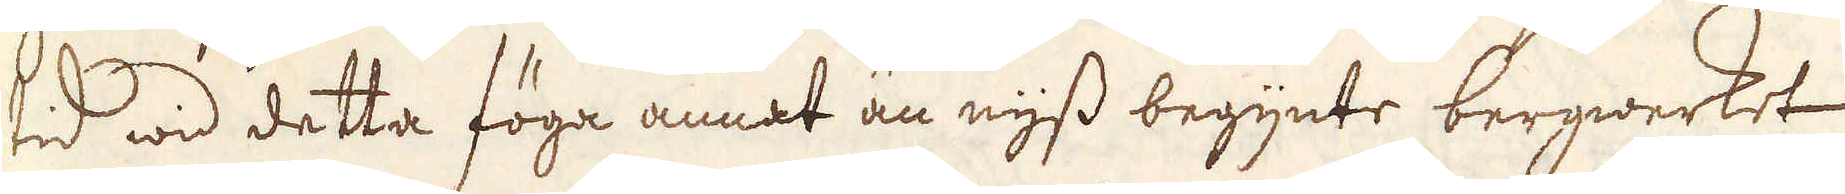tid wid detta föga annat än nyss begynte bergwerket
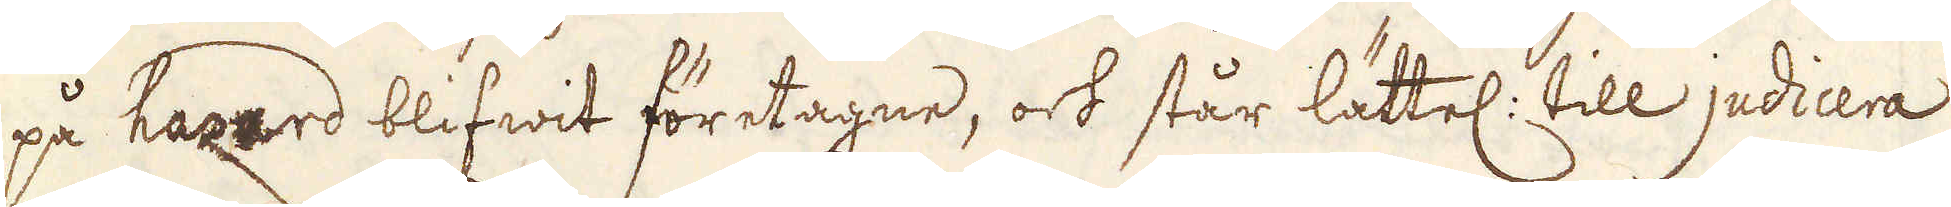på hazard blifwit företagne, och står lättel: till judicera
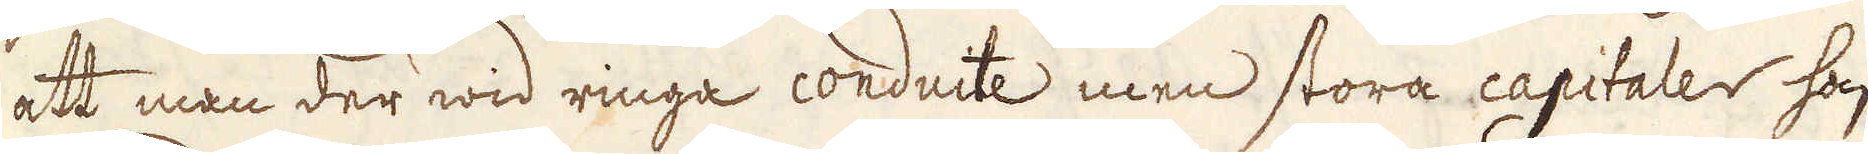att man der wid ringa conducte men stora capitaler haft,
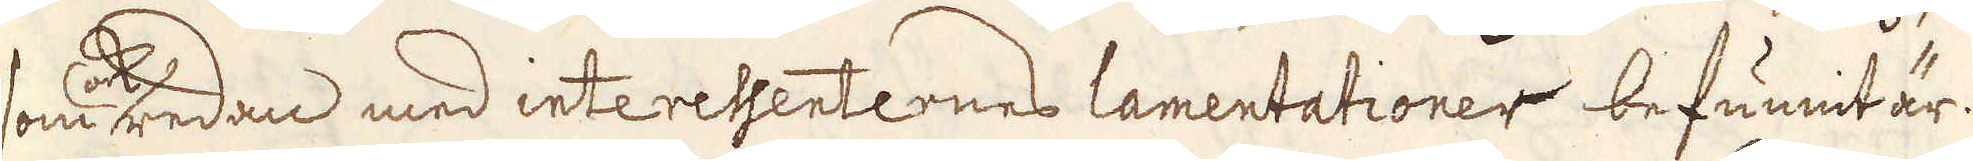som ock redan med interessenternes lamentationer befunnit är.
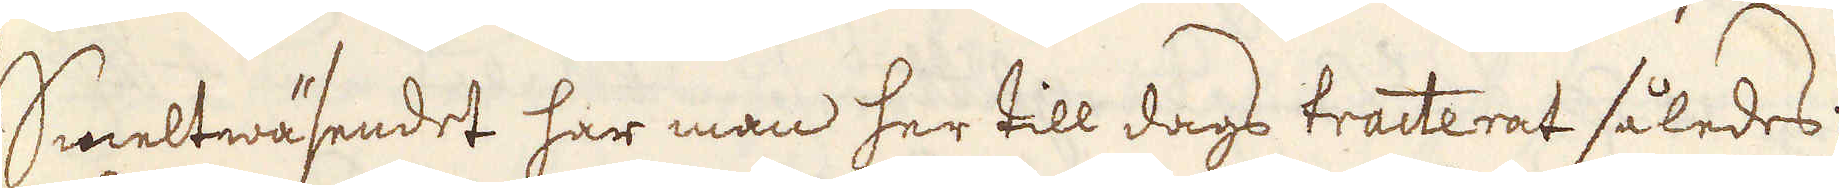Smeltwäsendet har man her till dags tracterat således:
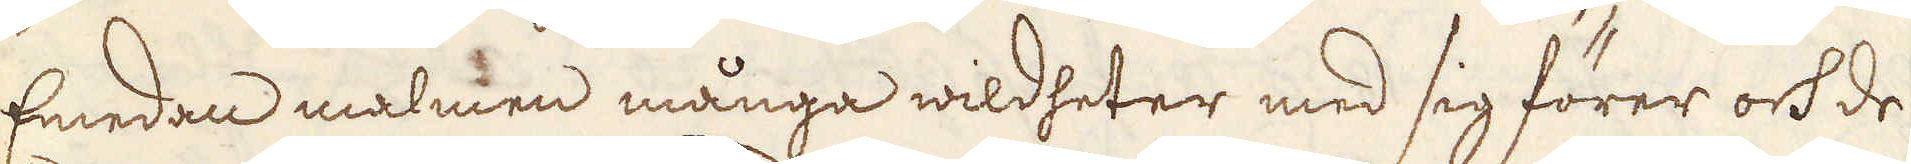Emedan malmen många wildheter med sig förer och de
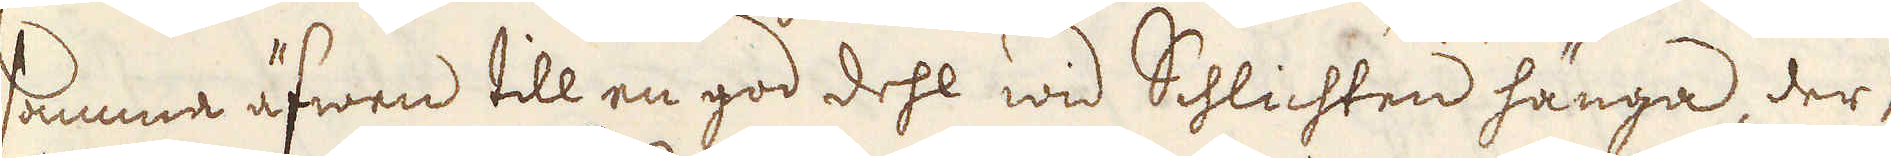samma äfwen till en god dehl wid Schlichten hänga, der-
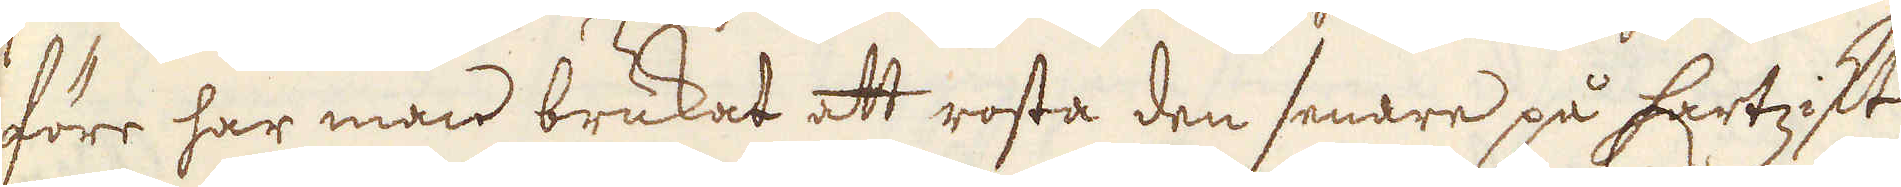före har man brukat att rosta den senare på hartzikt
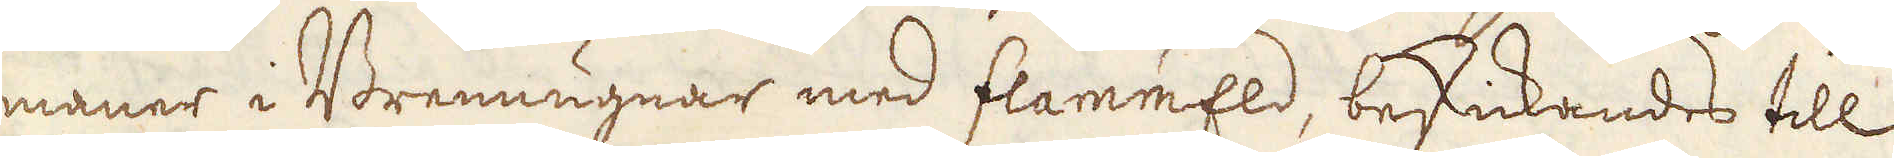maner i Brennugnar med flammeld, beskickandes till
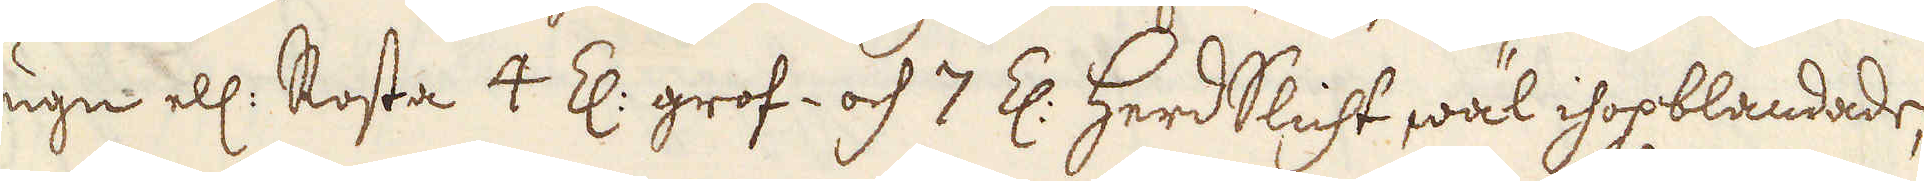1 ugn ell: Rosta 4 Z: grof- och 7 Z: herdslicht wäl ihopblandade,
